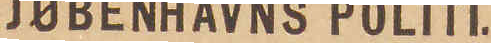KJØBENHAVNS POLITI.
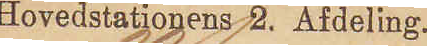Hovedstationens 2. Afdeling.
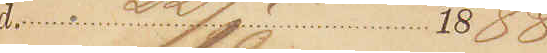d. 22/10 1888
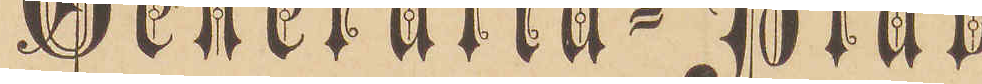Generalia-Blad
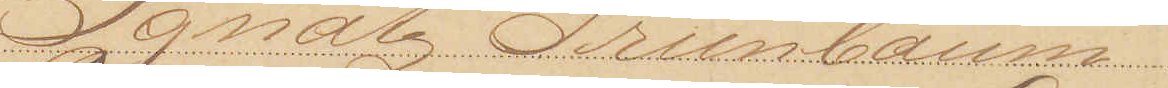Ignatz Grünbaum
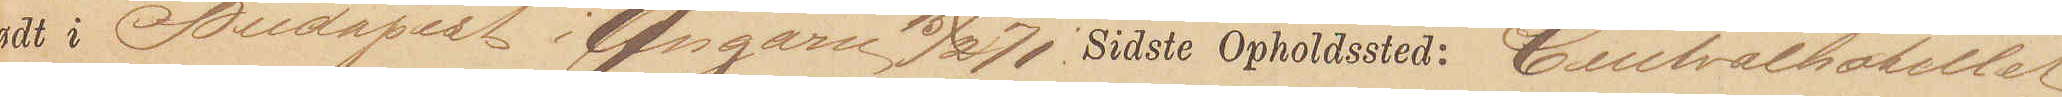født i Budapest i Ungarn 15/2 71. Sidste Opholdssted: Centralhotellet
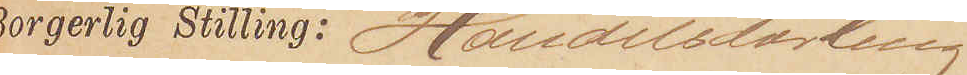Borgerlig Stilling: Handelslærling
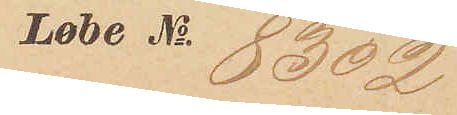Løbe No 8302
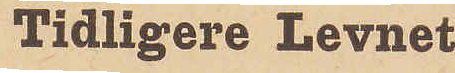Tidligere Levnet
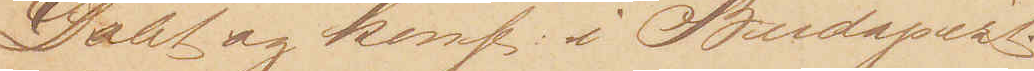Døbt og konf: i Budapest.
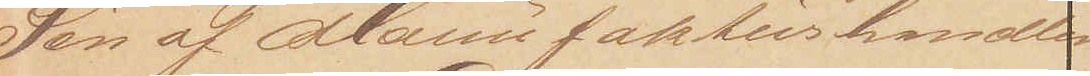Søn af Manufakturhandler
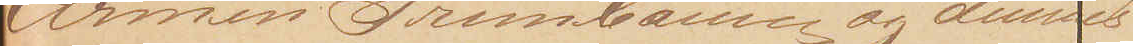Armin Grünbaum og dennes
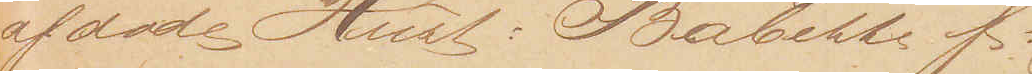afdøde Hust: Babette f:
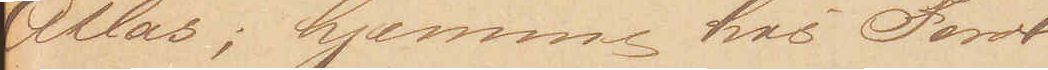Atlas; hjemme hos Foræl¬
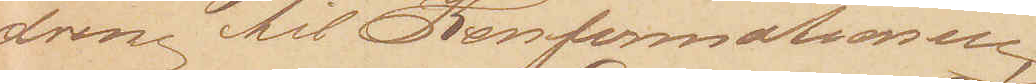drene til Konfirmationen;
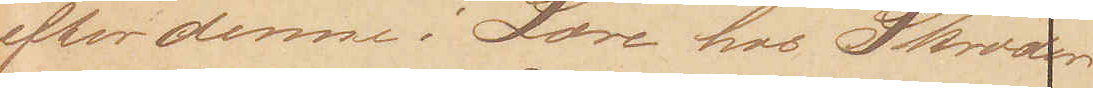efter denne i Lære hos Skrædder
